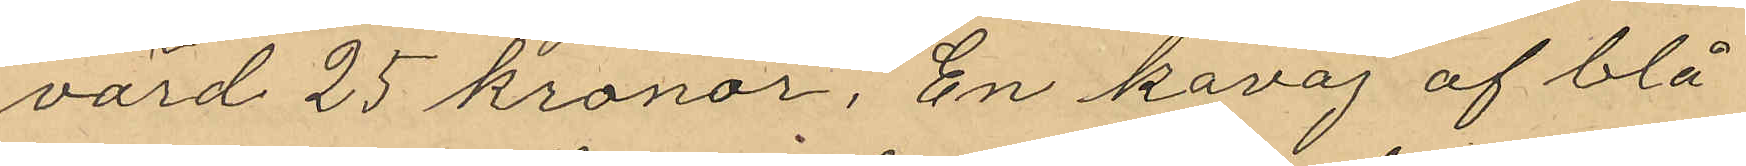värd 25 kronor, En kavaj af blå
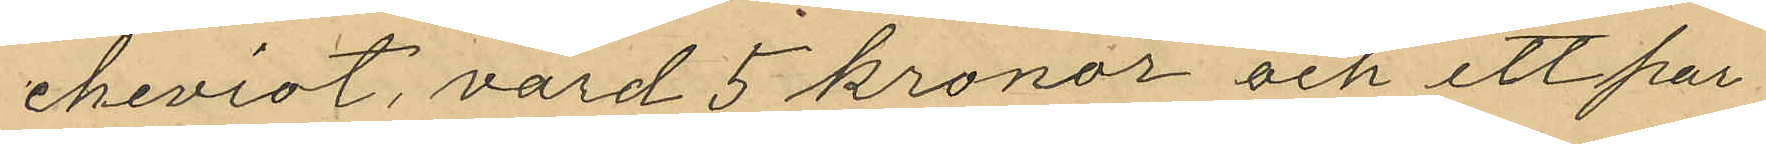cheviot, värd 5 kronor och ett par
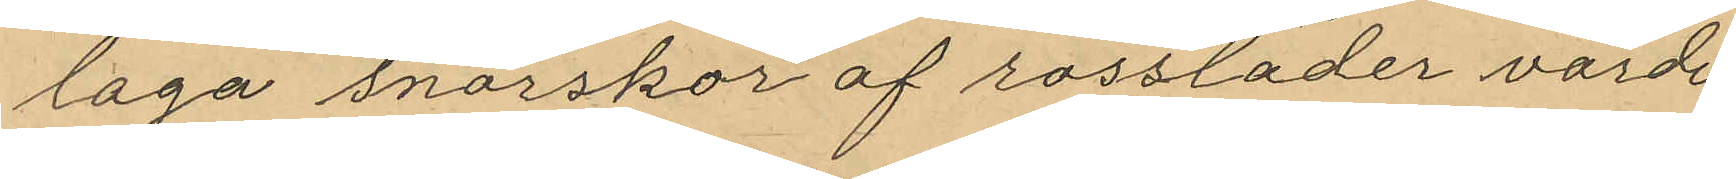låga snörskor af rossläder värde
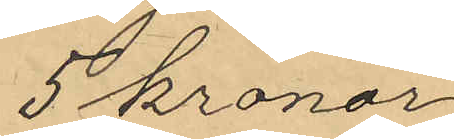5 kronor
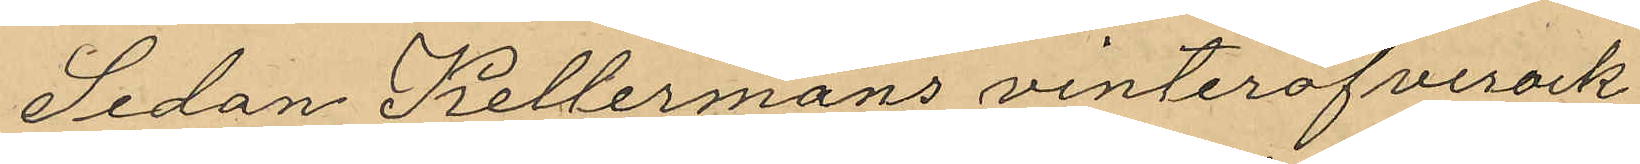Sedan Kellermans vinteröfverock
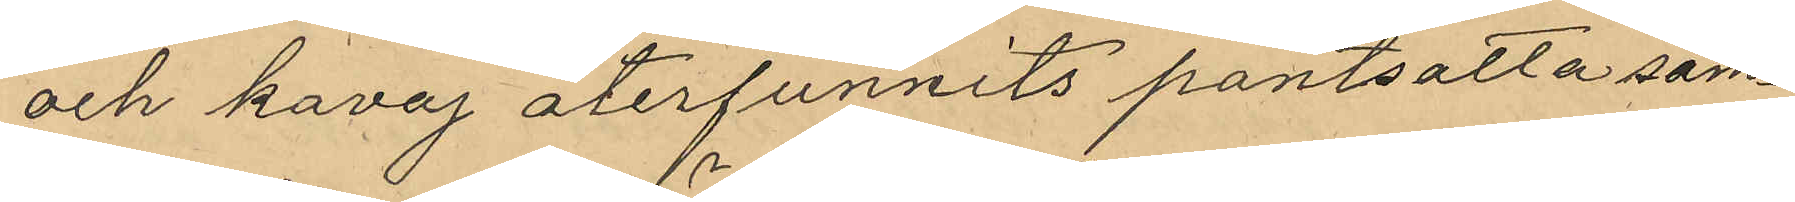och kavaj återfunnits pantsatta sam¬
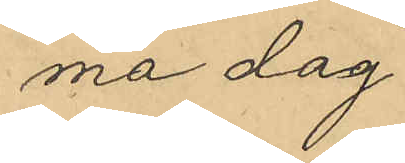ma dag
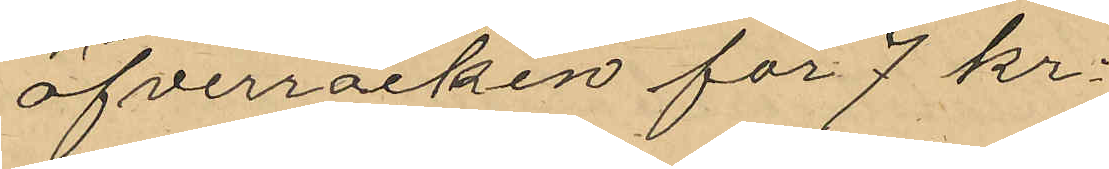öfverrocken för 7 kr.
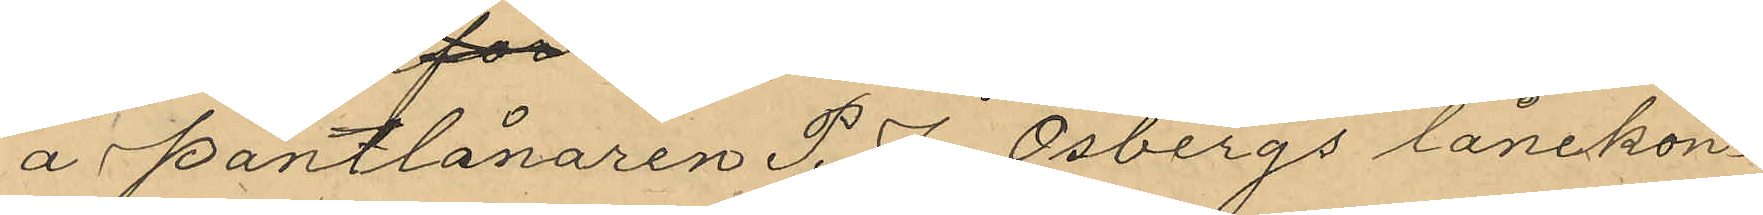å Pantlånaren P. J. Osbergs lånekon¬
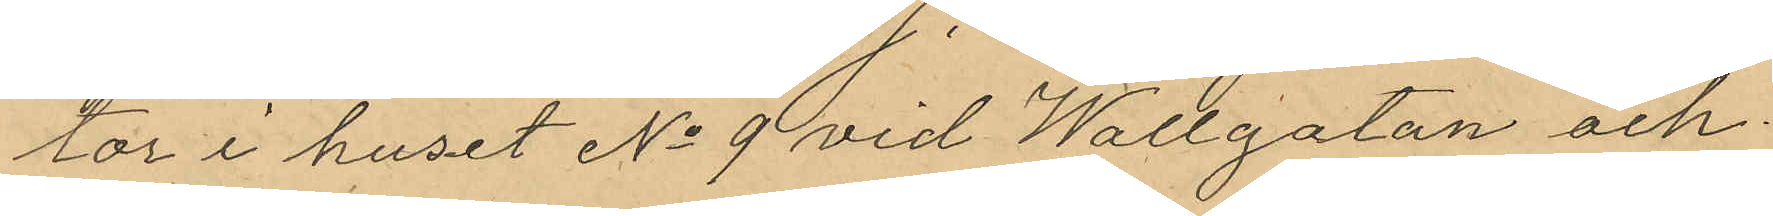tor i huset No 9 vid Wallgatan och
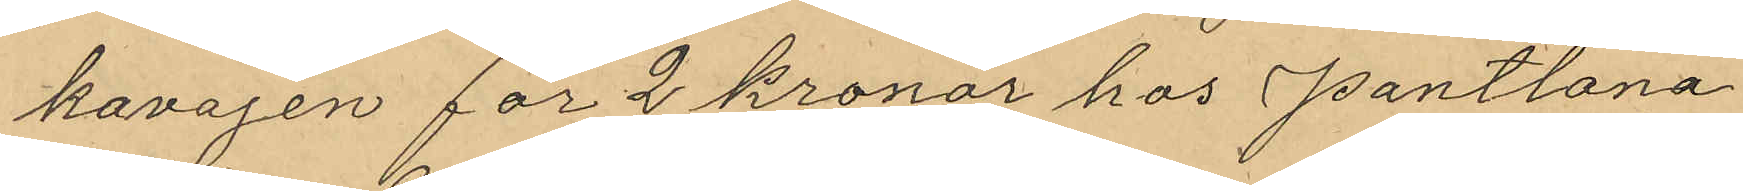kavajen för 2 kronor hos Pantlana¬
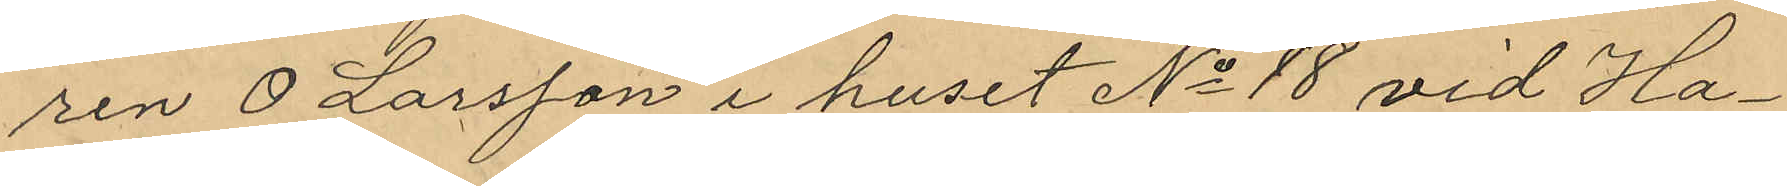ren O Larsson i huset No 18 vid Ha¬
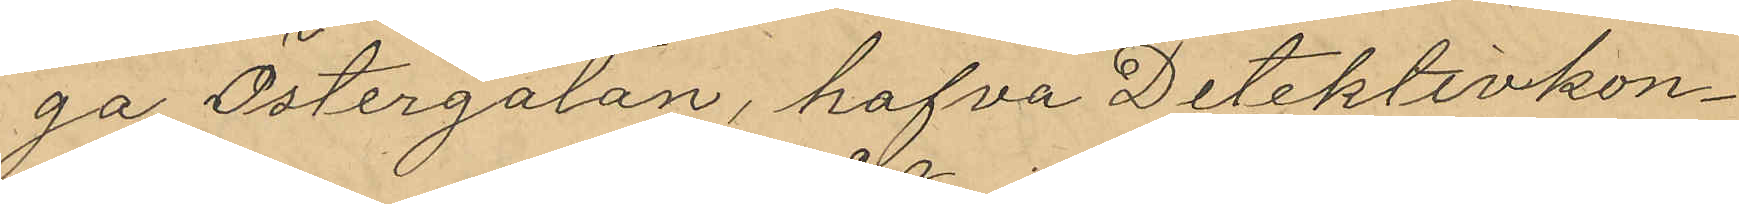ga Östergatan, hafva Detektivkon¬
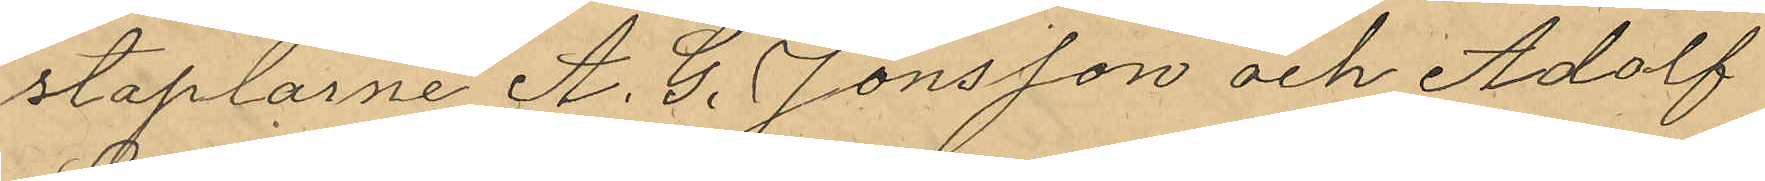staplarne A. G. Jönsson och Adolf
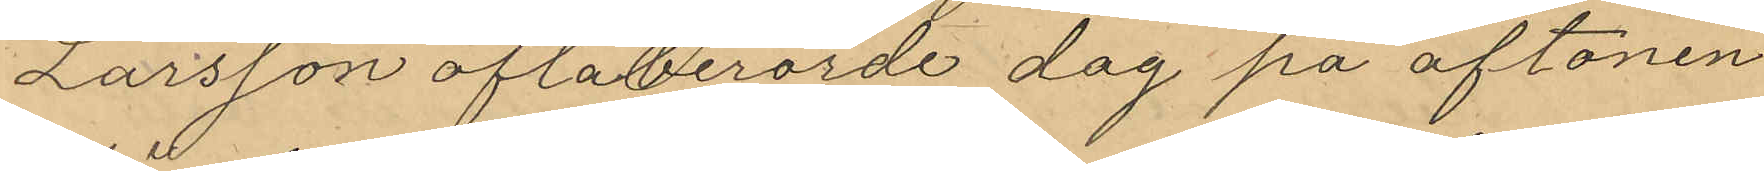Larsson oftaberörde dag på aftonen
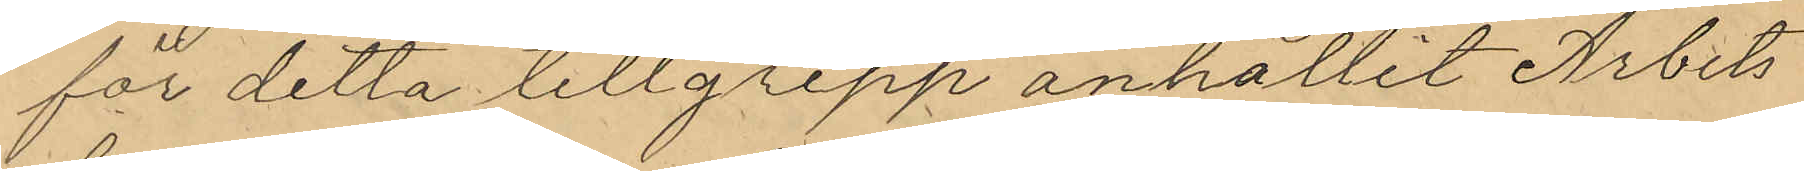för detta tillgrepp anhållit Arbets¬
